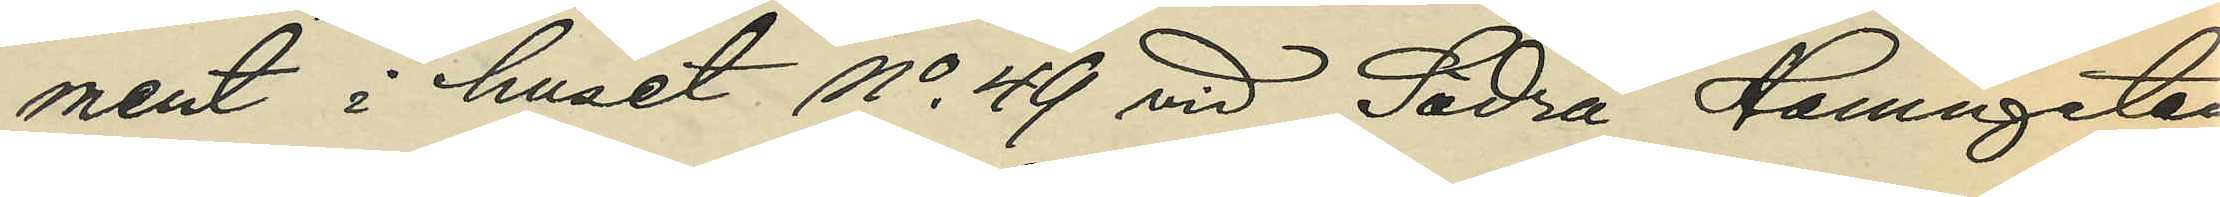ment i huset No 49 vid Södra Hamngatan
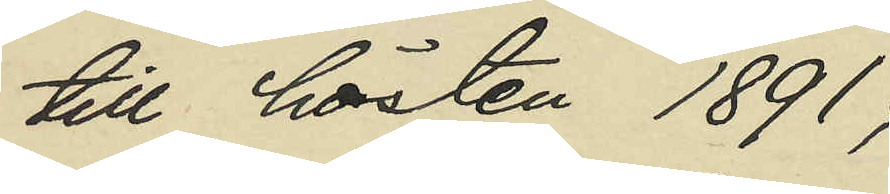till hösten 1891;
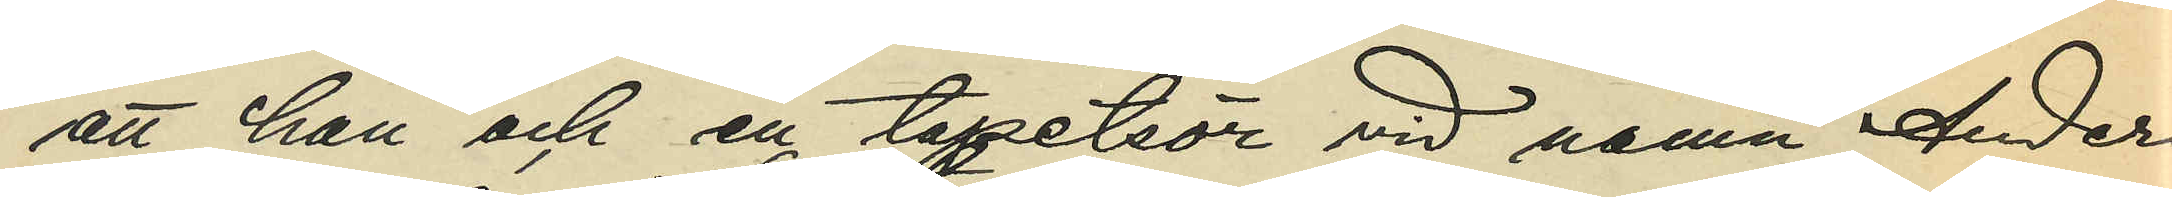att han och en tapetsör vid namn Anders¬
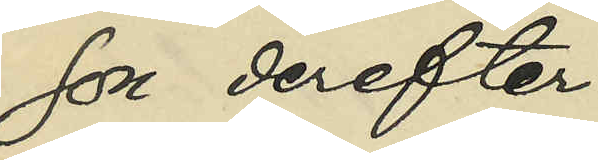son derefter
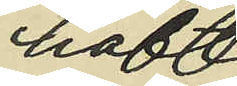haft
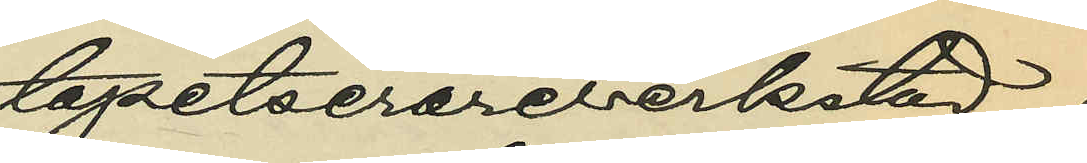tapetserareverkstad i
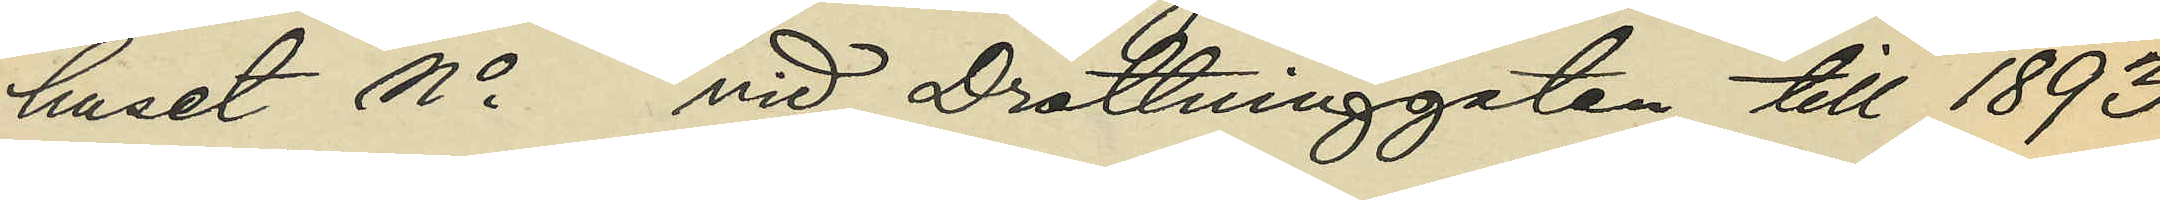huset No vid Drottninggatan till 1893
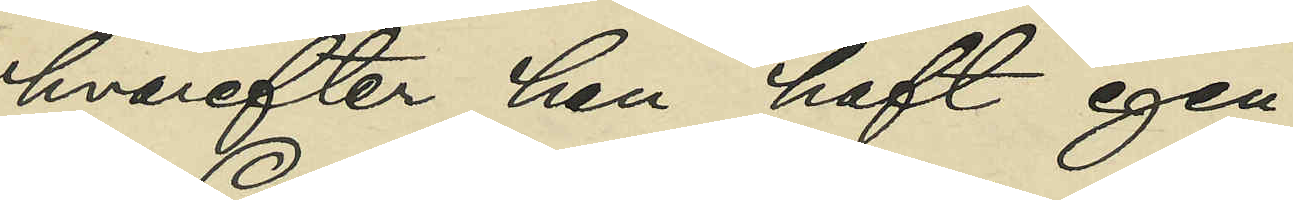hvarefter han haft egen
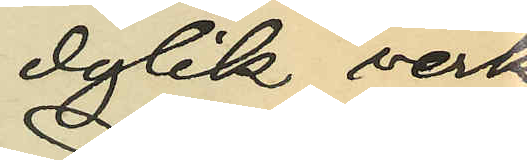dylik verk¬
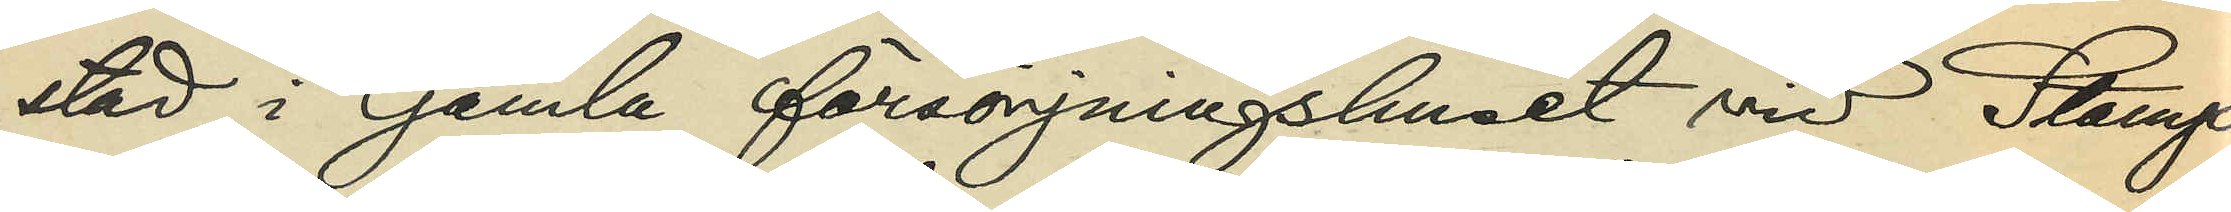stad i Gamla försörjningshuset vid Stamp¬
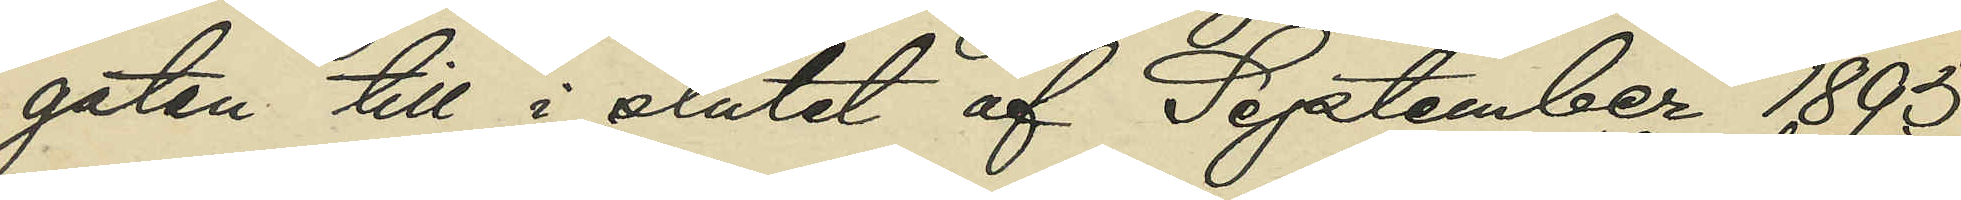gatan till slutet af September 1895;
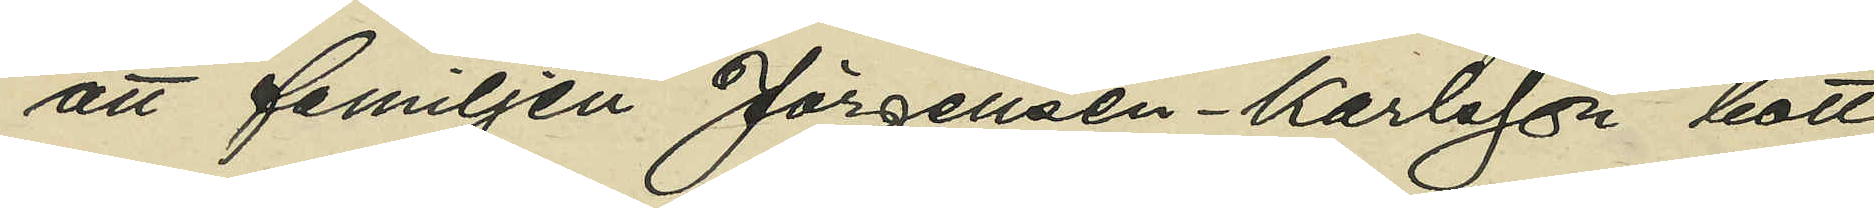att familjen Jörgensen - Karlsson bott
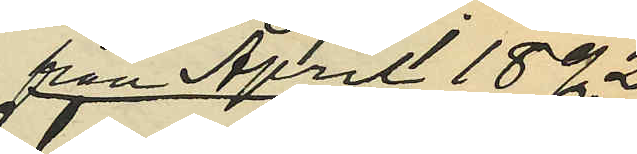från April 1892
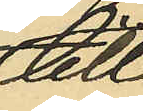till
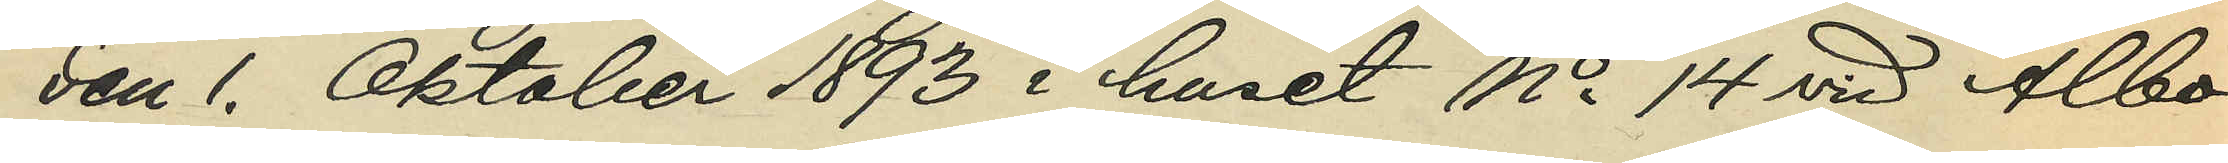den 1. Oktober 1893 i huset No 14 vid Albo¬
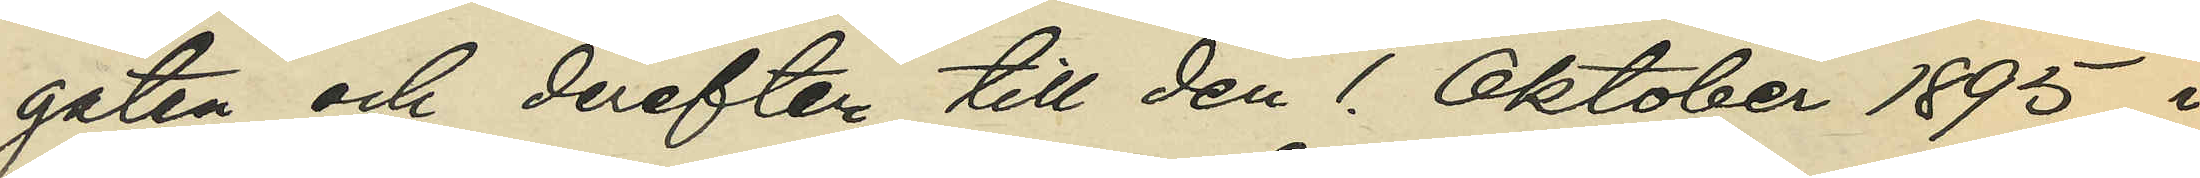gatan och derefter till den 1. Oktober 1895 i
